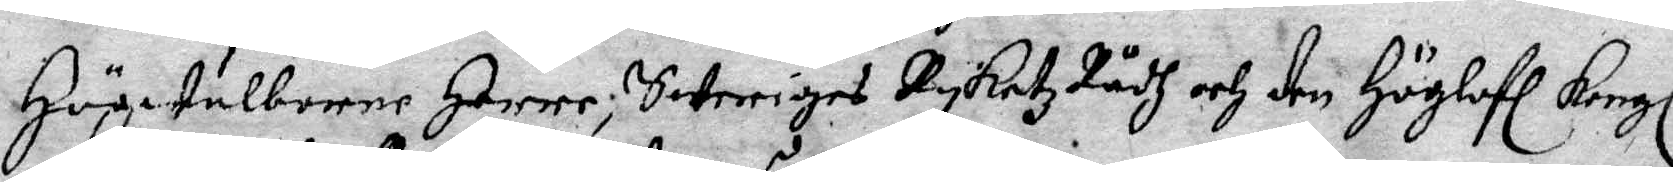Högwälborne Herre, Sweriges Ryketz Rådh och den Höglofl Kongl
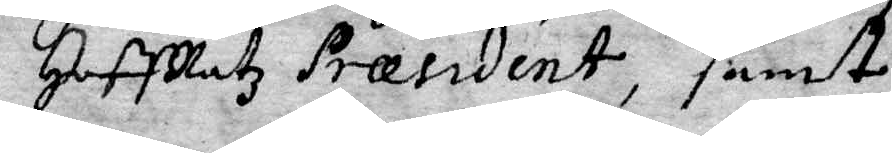HoffRatz Præsident, samt
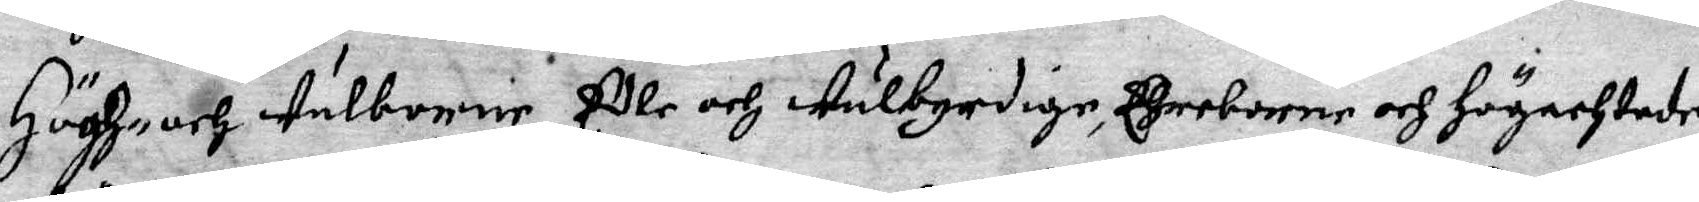Högh och Wälborne Edle och Wälbyrdige, Ehreborne och Högachtade
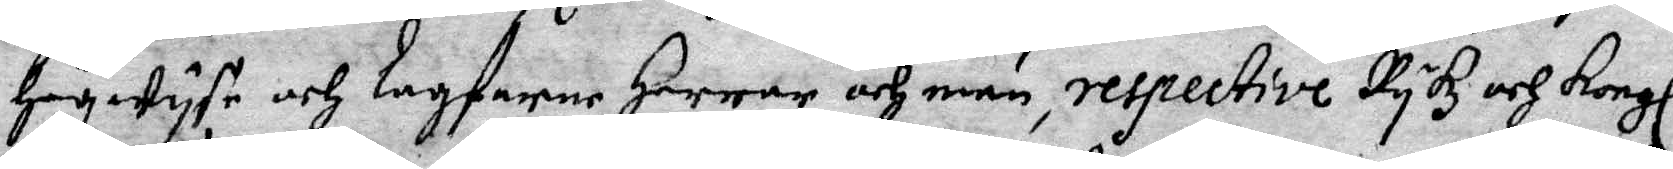Högwyse och lagfarne Herrar och män, respective Rykz och Kongl
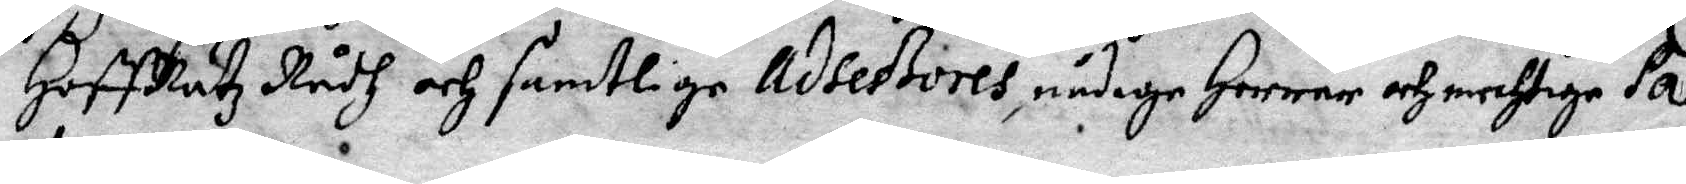HoffRätz Rådh och samtlige Adseßories, nådige Herrar och mechtige Pa¬
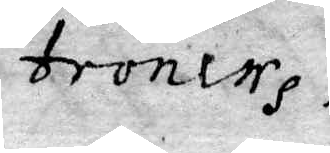trones.
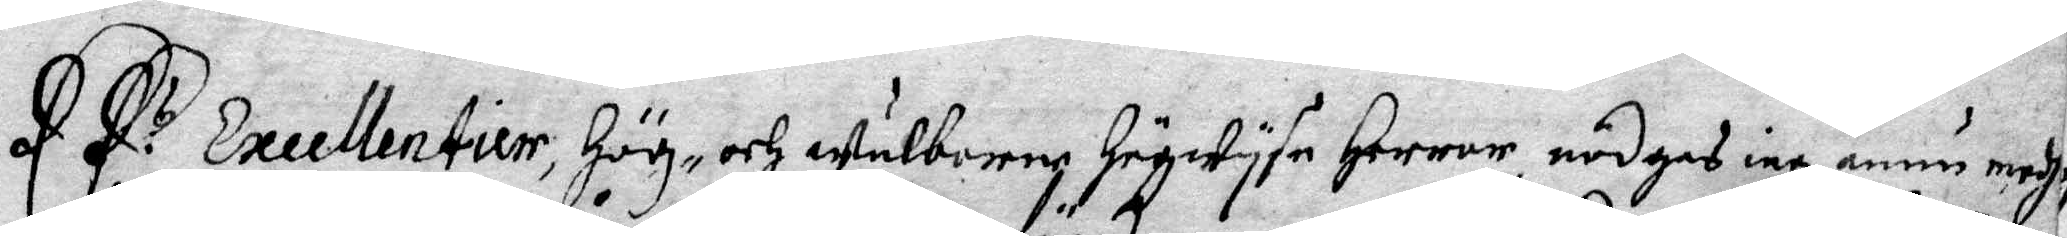EE:s Excellentier , Hög- och Wälborne Högwyse Herrar nödgas iag ännu medh
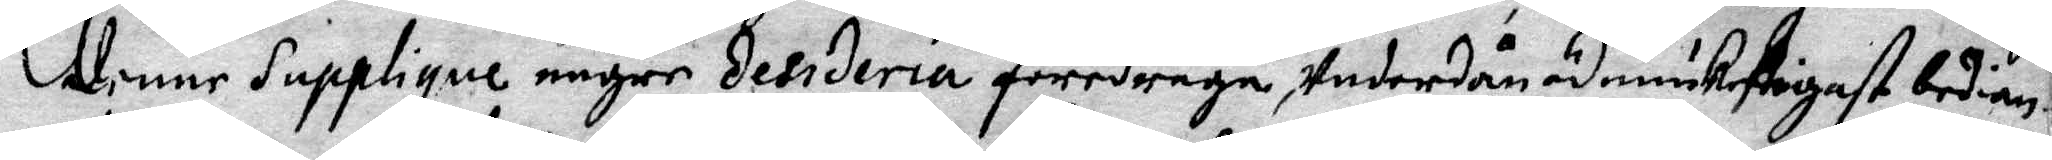denne Supplique någre Eesideria föredraga, Undernånödmiukeligast bedian¬
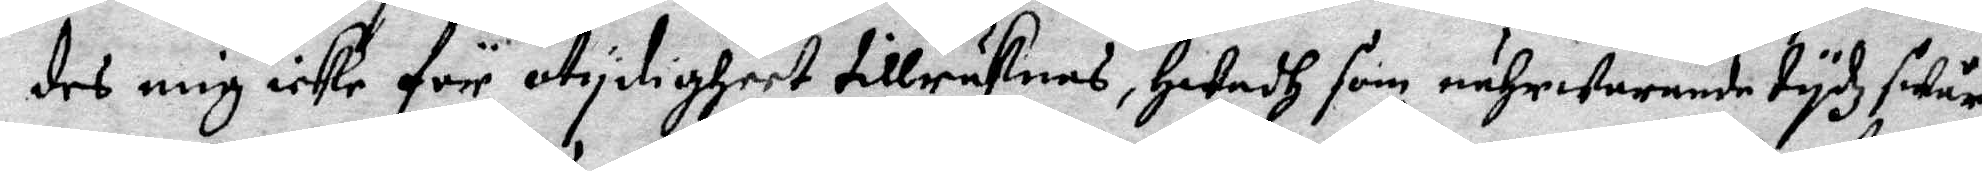des mig icke för otydigheet tillräknas, Hwadh som nährwarande tydz swår¬
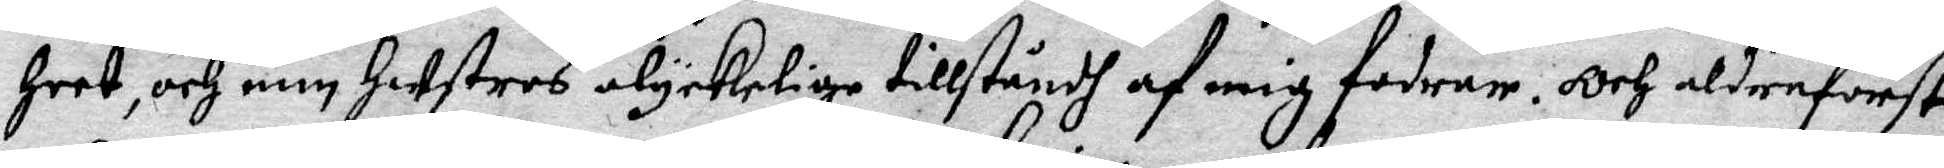heet, och min Hustros olyckelige tillståndh af mig fodrar. Och aldreförst
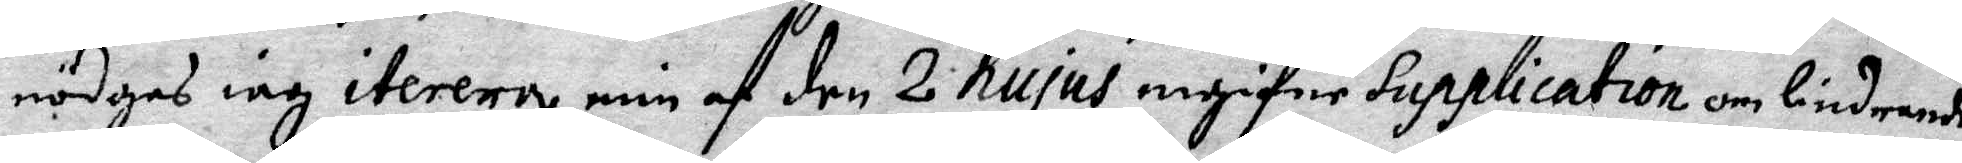nödga iag iterera min af den 2 hujus ingifne Supplication om lindrande
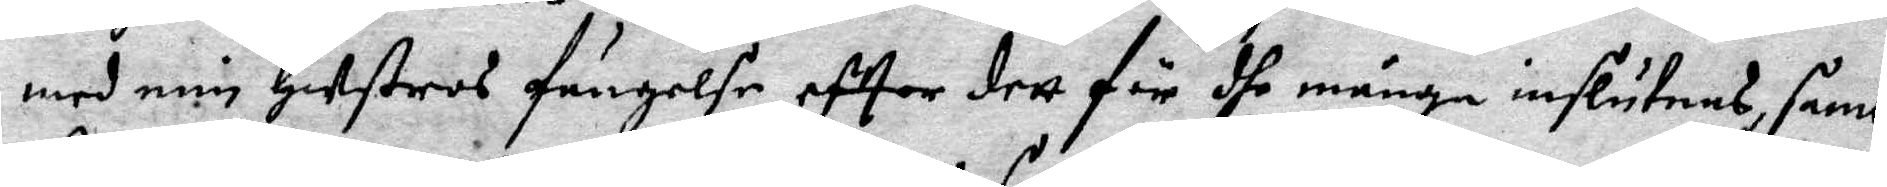med min Hustros fängelse, efter dett för dhe många inslutnes, samt
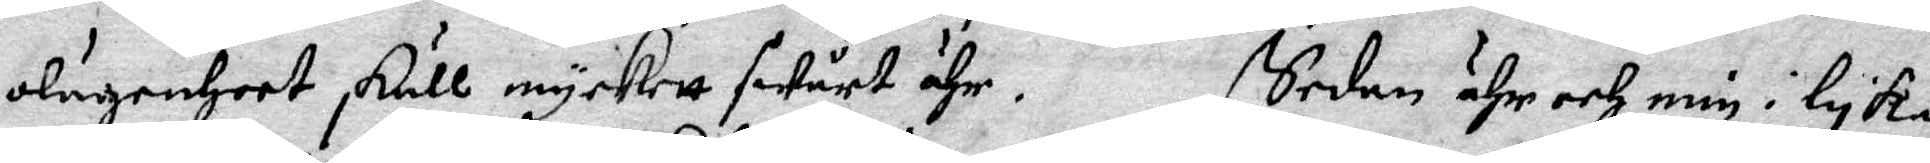olägenheet skull myckett swårt ähr. Sedan ähr och min i lyka
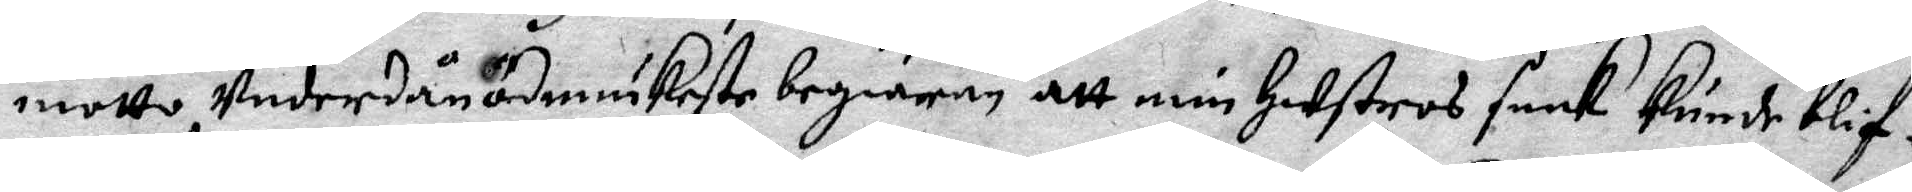motto Underdånödmiukeste begiäran att min Hustros saak kunde blif¬
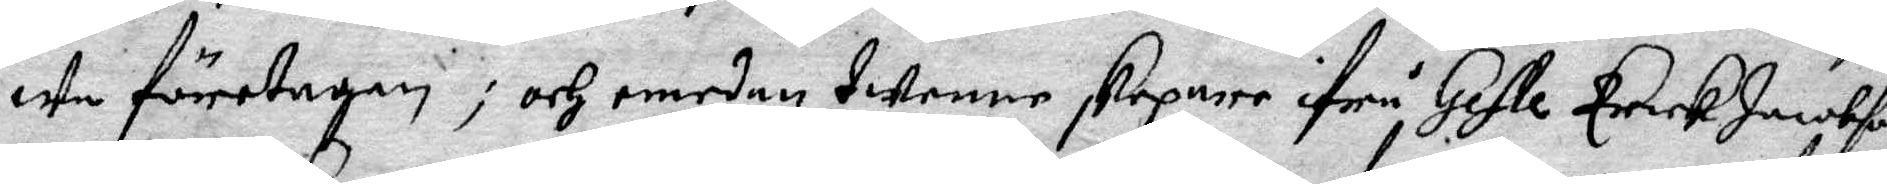we föredragen; och emedan twenne skepare ifrån Gefle Erick Jacobson
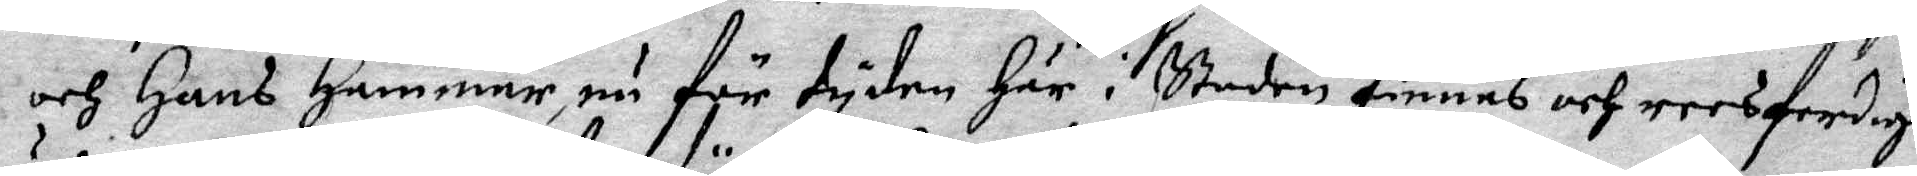och Hans Hammar, nu för tyden här i staden finnes och reesferdige
